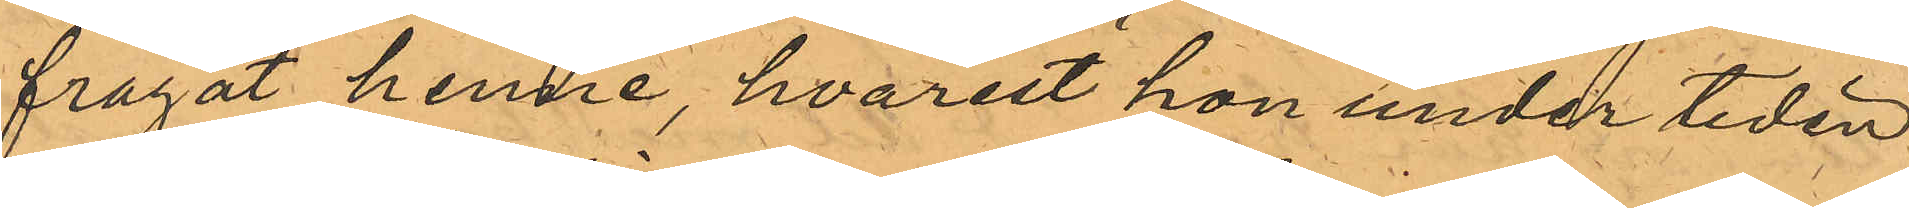frågat henne, hvarest hon under tiden
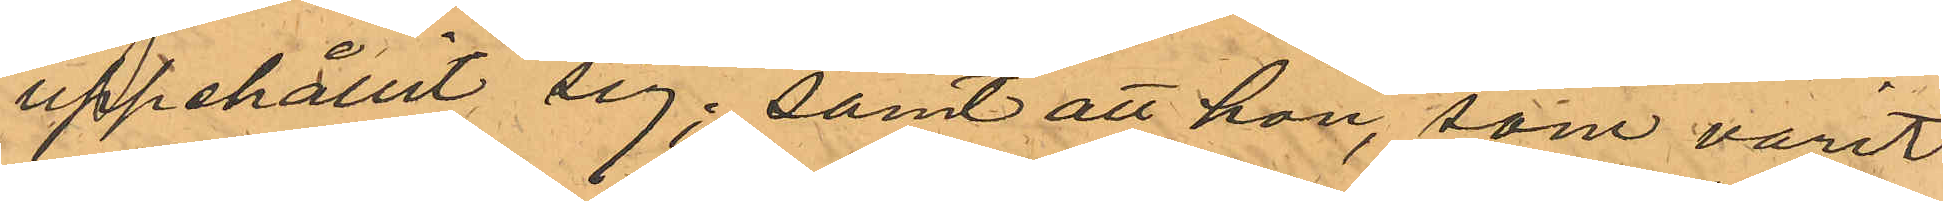uppehållit sig; samt att hon, som varit
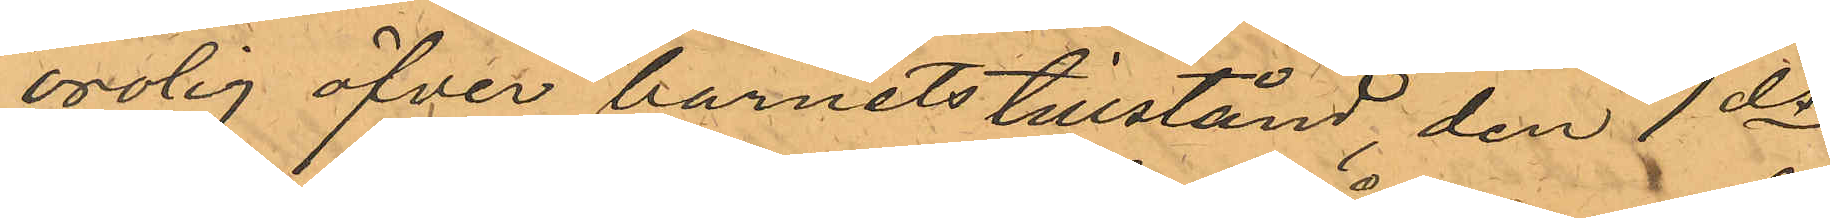orolig öfver barnets tillstånd, den 1 ds
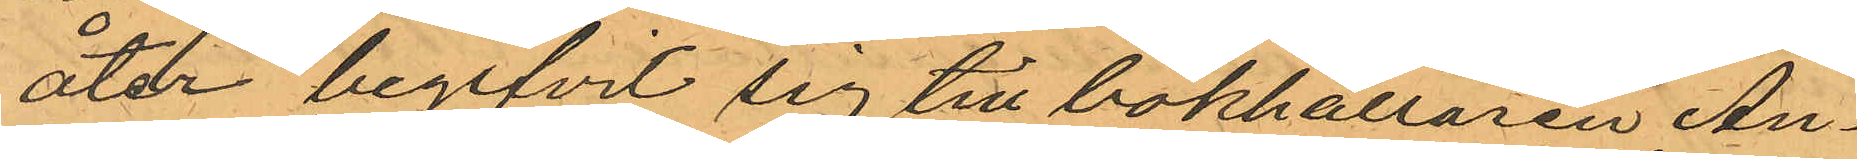åter begifvit sig till bokhållaren An¬
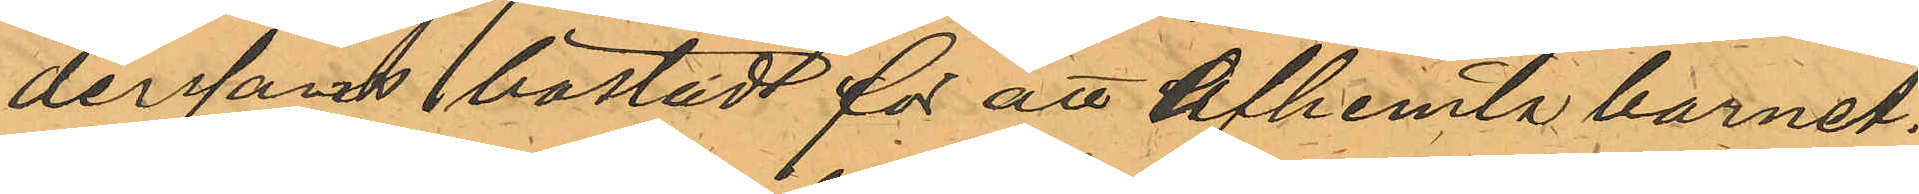derssons bostad för att afhemta barnet.
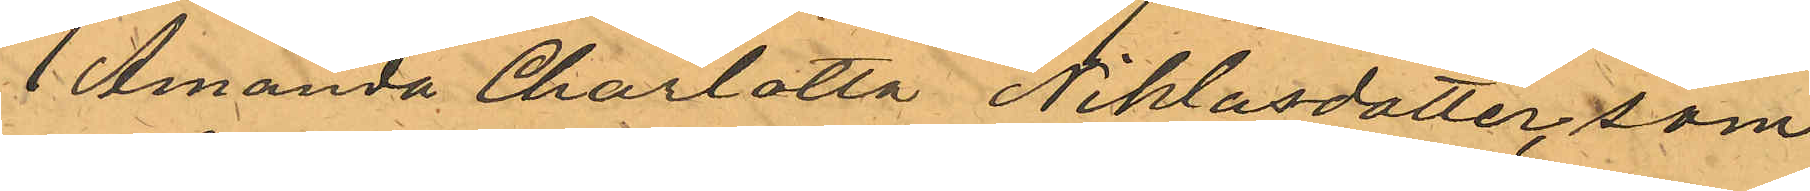Amanda Charlotta Niklasdotter, som
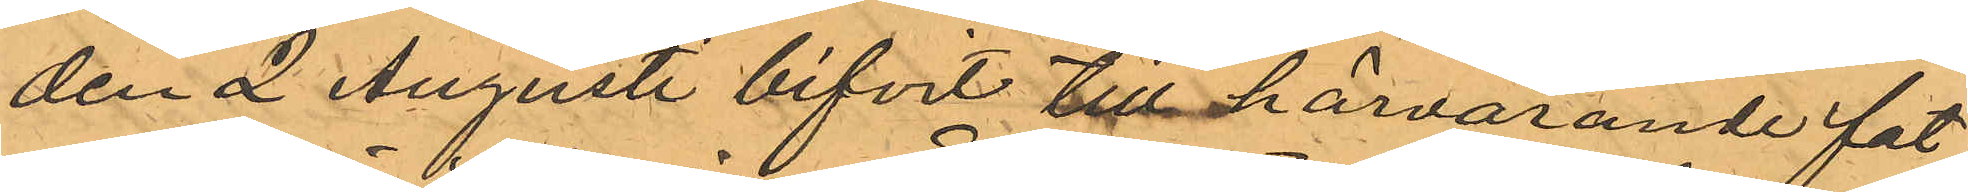den 2 Augusti bifvit till härvarande fat¬
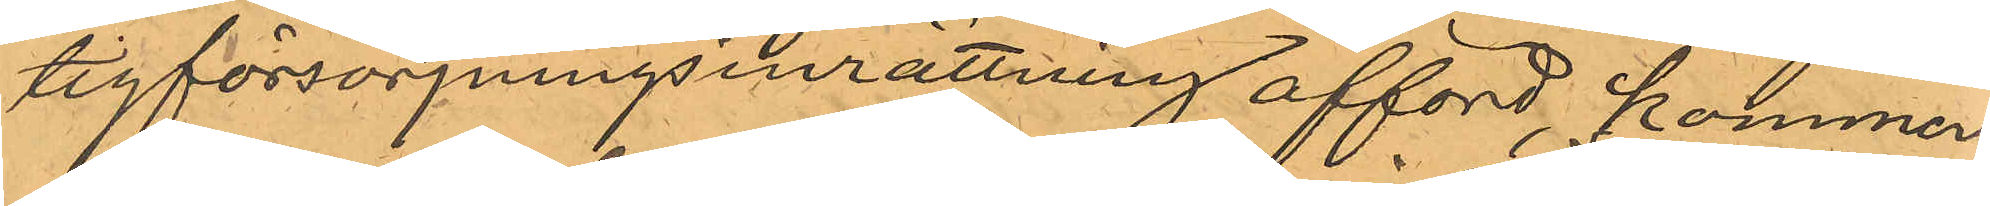tigförsörjningsinrättning afförd, kommer
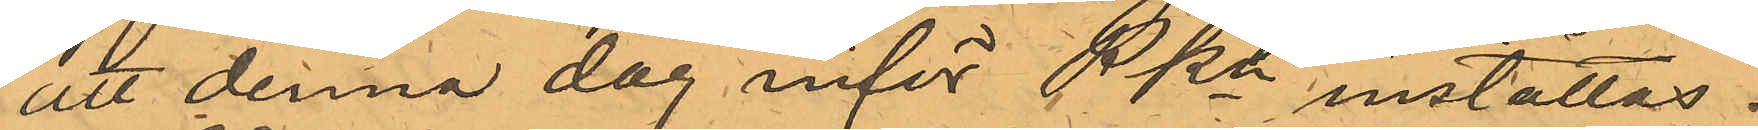att denna dag inför PKn inställas.
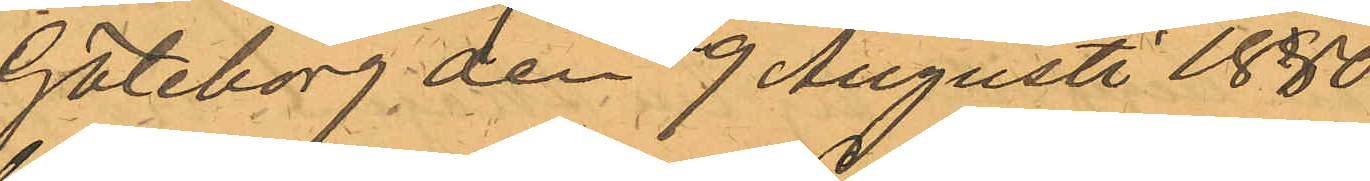Göteborg den 9 Augusti 1880.
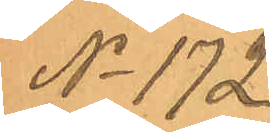No 172
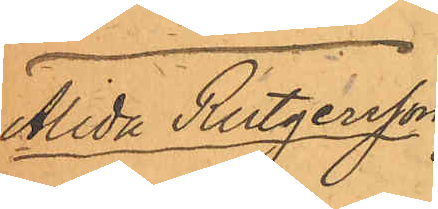Alida Rutgersson
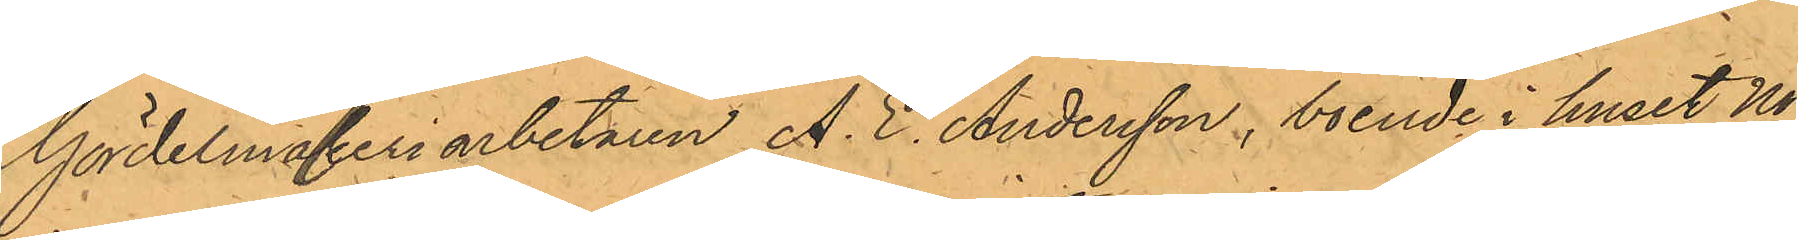Gördelmakeriarbetaren A. E. Andersson, boende i huset No
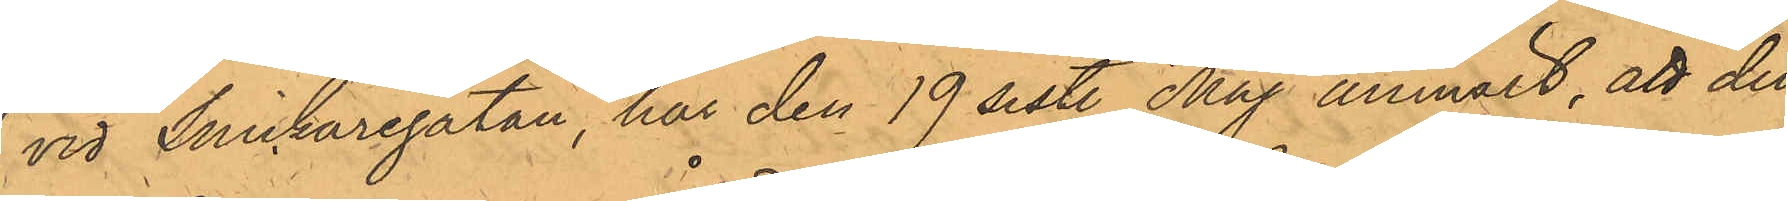3 vid Snickaregatan, har den 19 sist. Maj anmält, att den
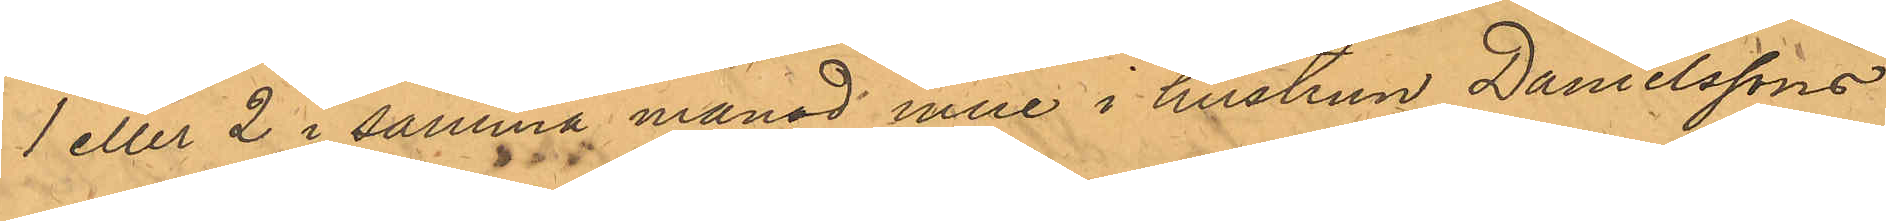1 eller 2 i samma månad inne i hustrun Danielssons
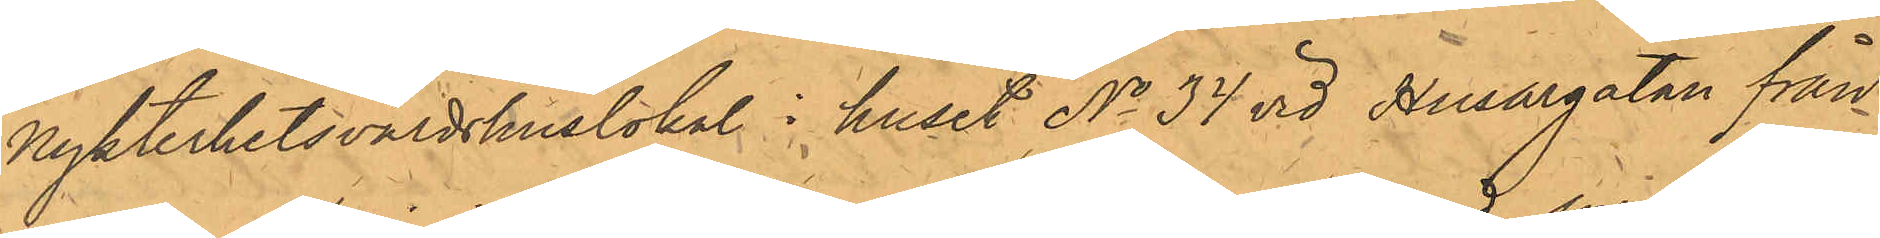Nykterhetsvärdshuslokal i huset No 34 vid Husargatan från
